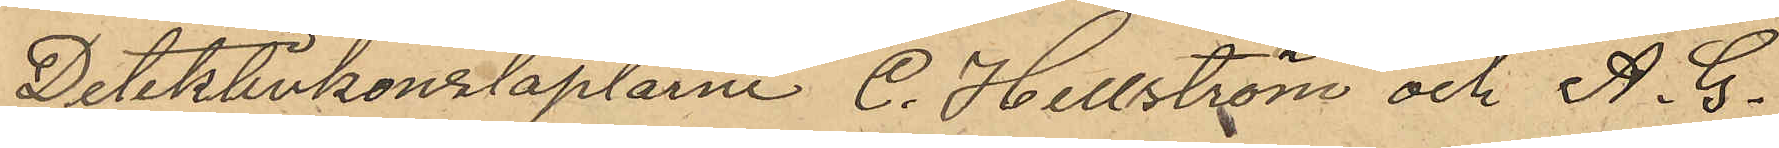Detektivkonstaplarne C. Hellström och A. G.
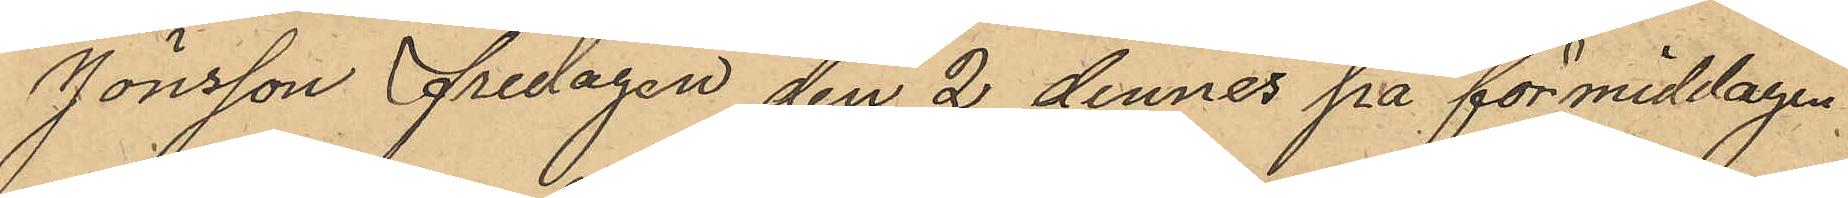Jönsson Fredagen den 2 dennes på förmiddagen
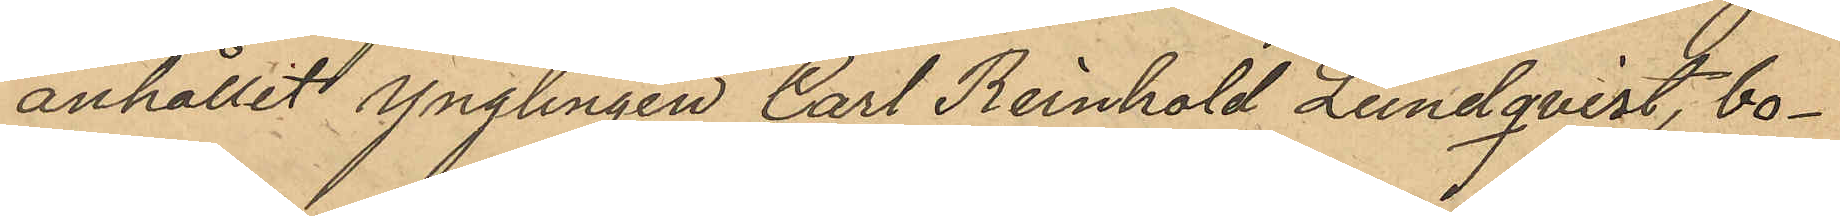anhållit ynglingen Carl Reinhold Lundqvist, bo¬
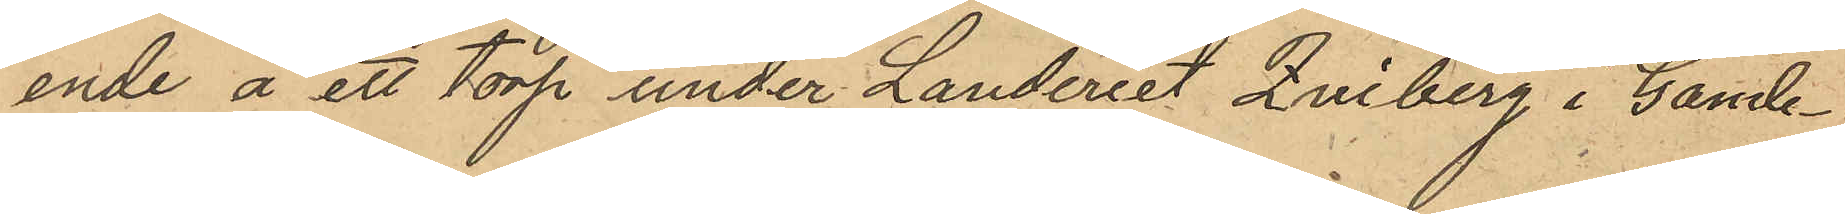ende å ett torp under Landeriet Qviberg i Gamle¬
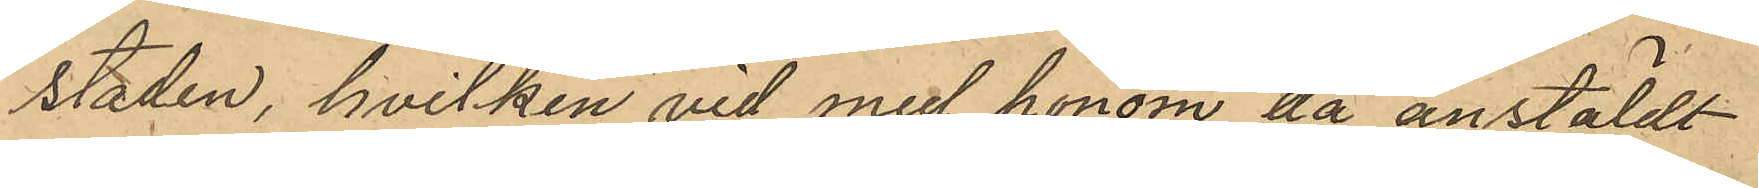staden, hvilken vid med honom då anstäldt
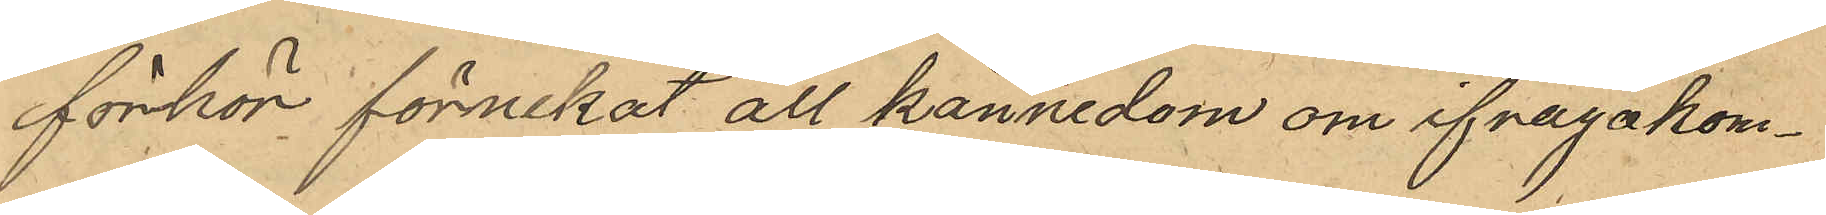förhör förnekat all kännedom om ifragakom¬
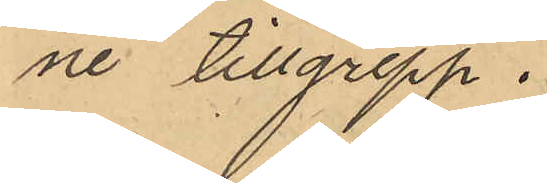ne tillgrepp.
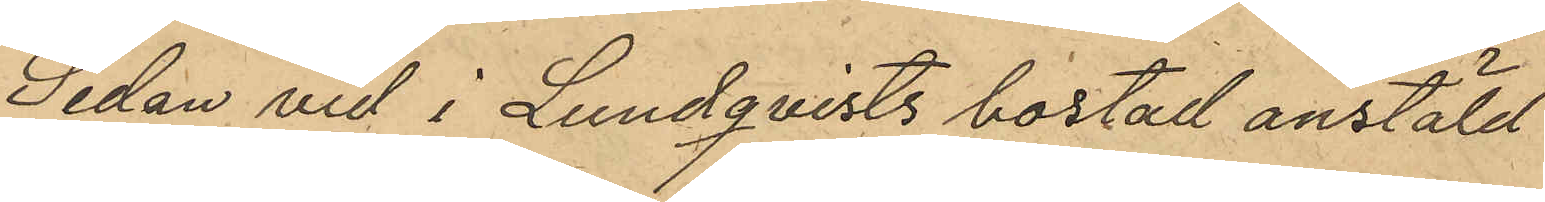Sedan vid i Lundqvists bostad anstäld
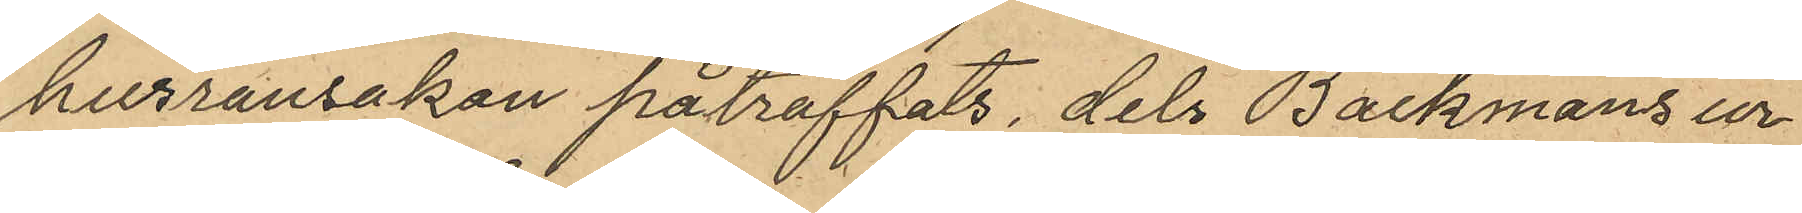husransakan påträffats, dels Bäckmans ur
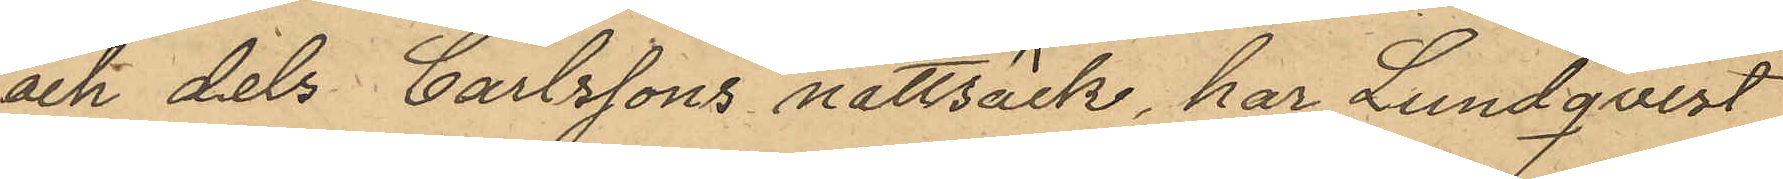och dels Carlssons nattsäck, har Lundqvist
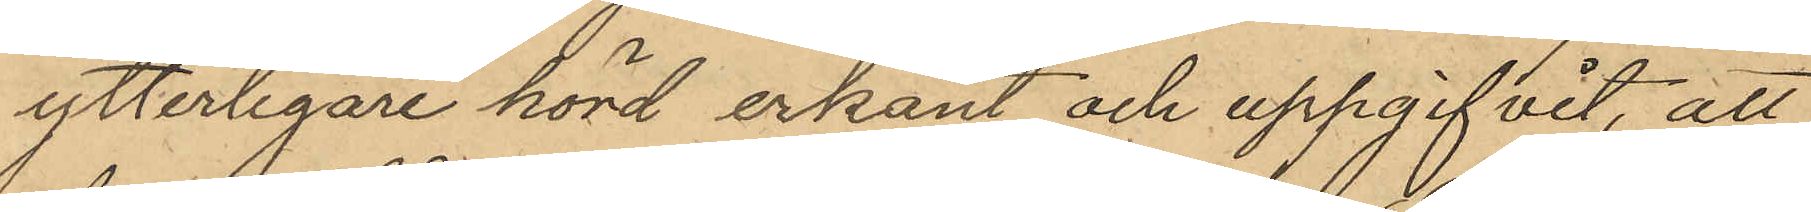ytterligare hörd erkänt och uppgifvit, att
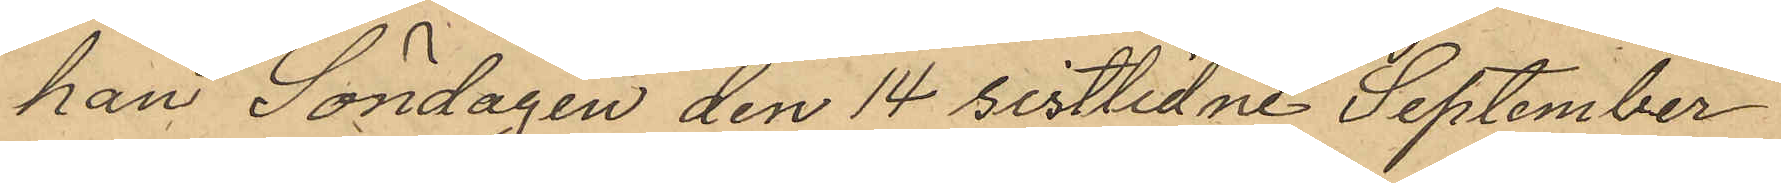han Söndagen den 14 sistlidne September
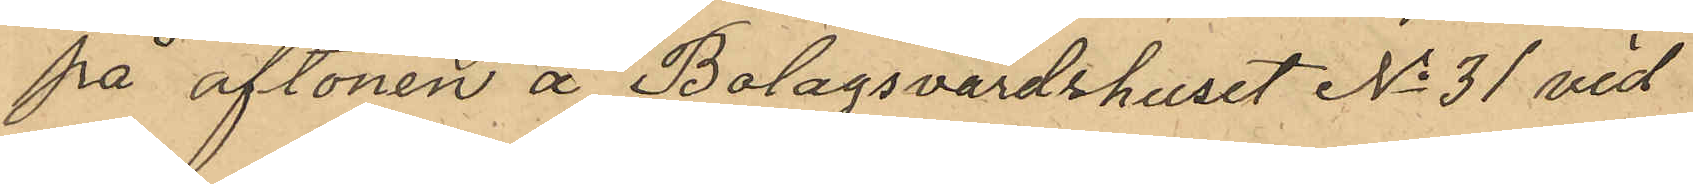på aftonen å Bolagsvärdshuset No 31 vid
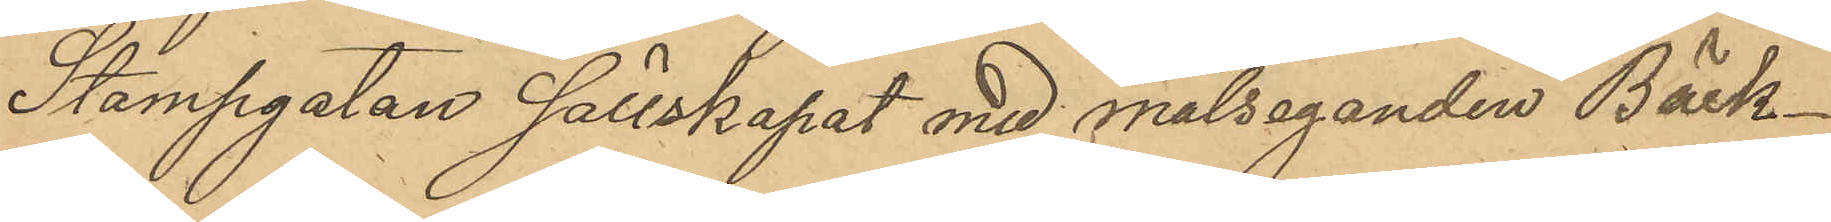Stampgatan sällskapat med målseganden Bäck¬
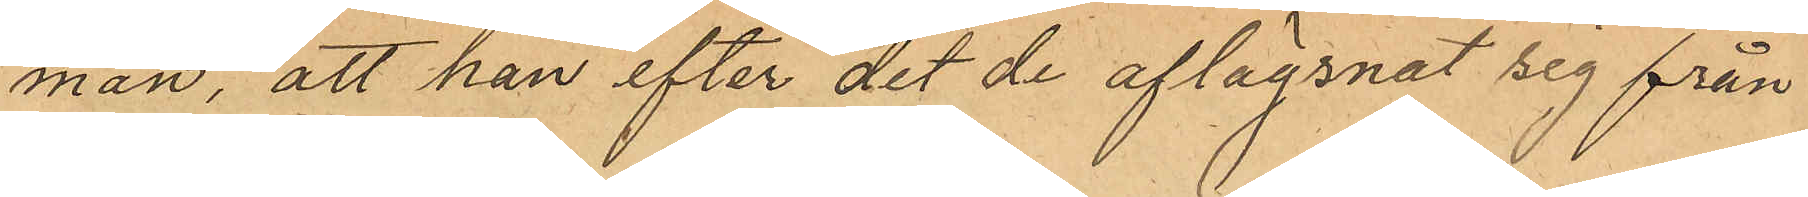man, att han efter det de aflägsnat sig från
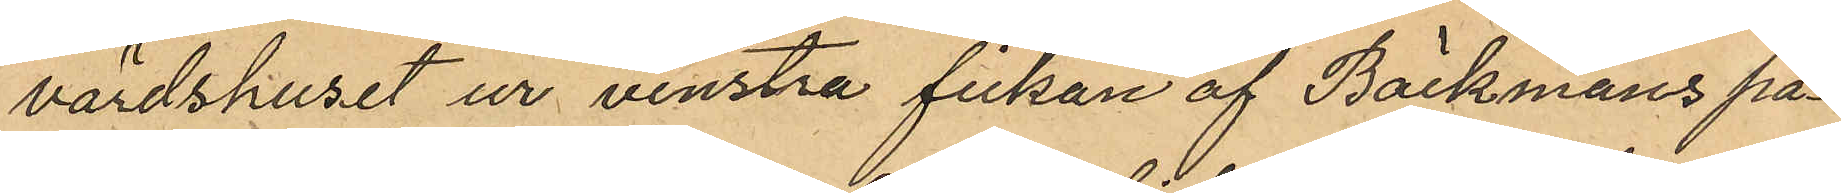värdshuset ur venstra fickan af Bäckmans på¬
